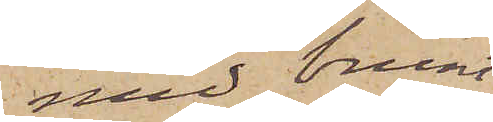med brunt
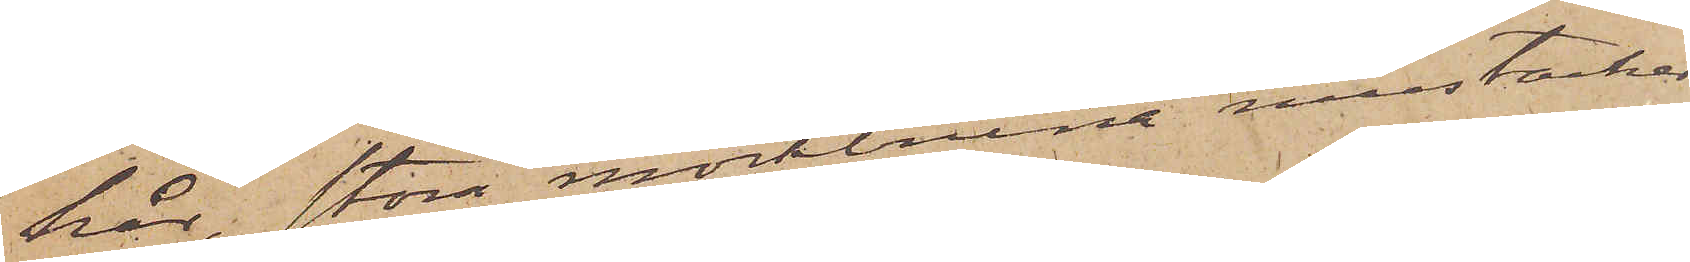hår, stora mörkbruna mustacher,
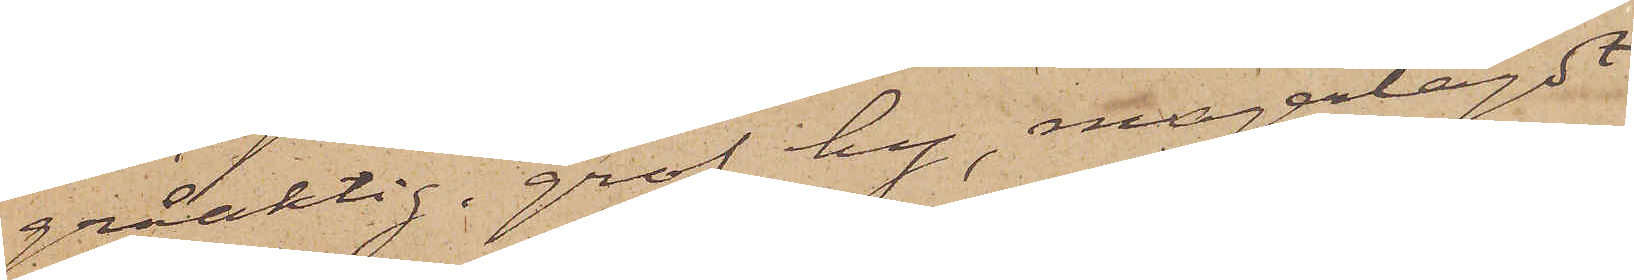gråaktig, grof hy, magerlagdt
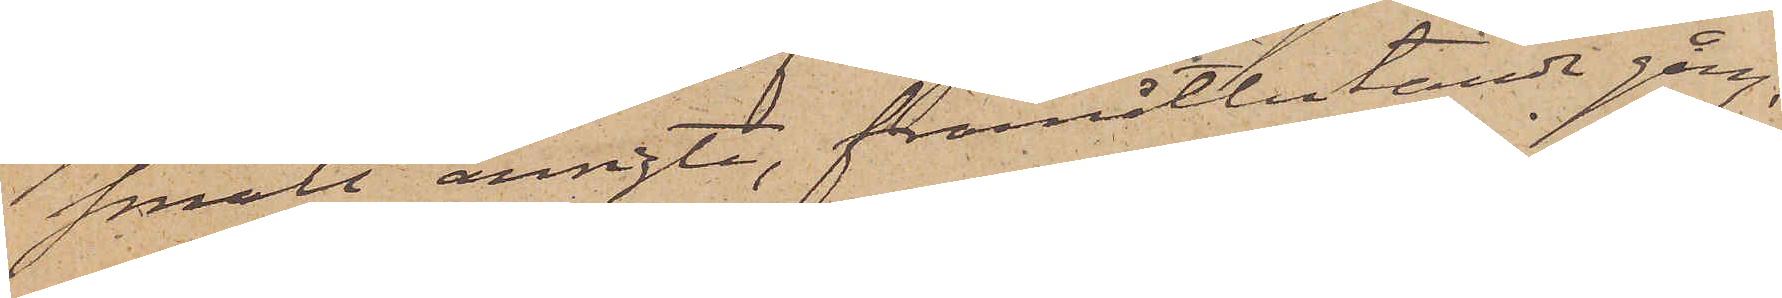smalt ansigte, framåtlutande gång,
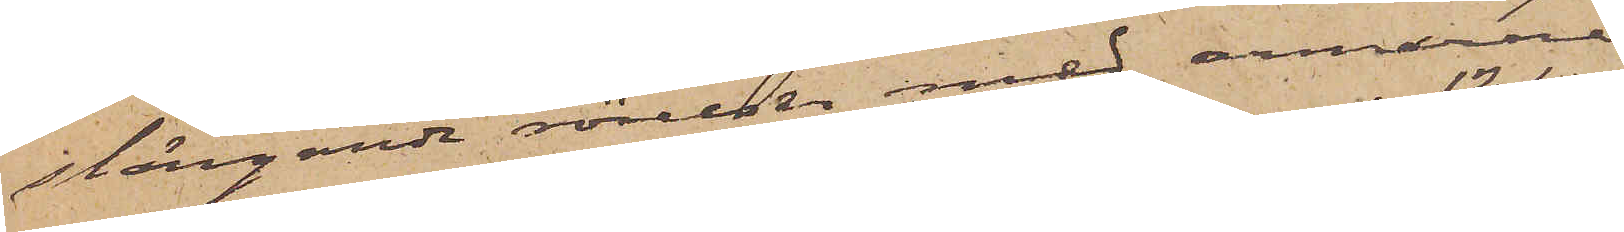slängande rörelser med armarna
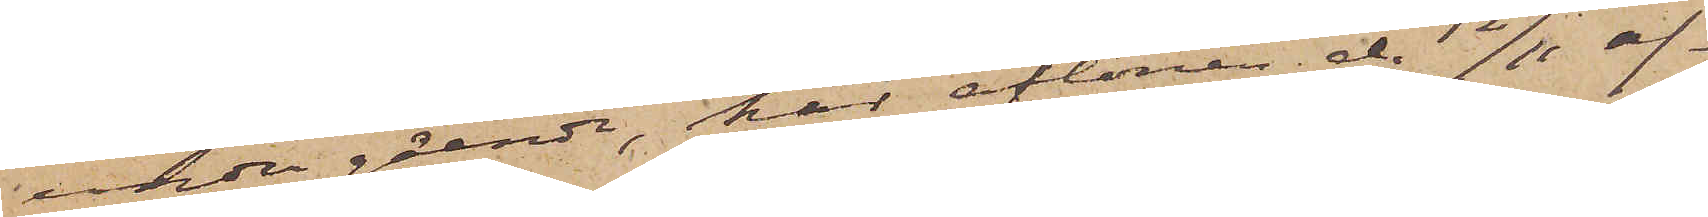under gående, har aftonen d. 12/11 af¬
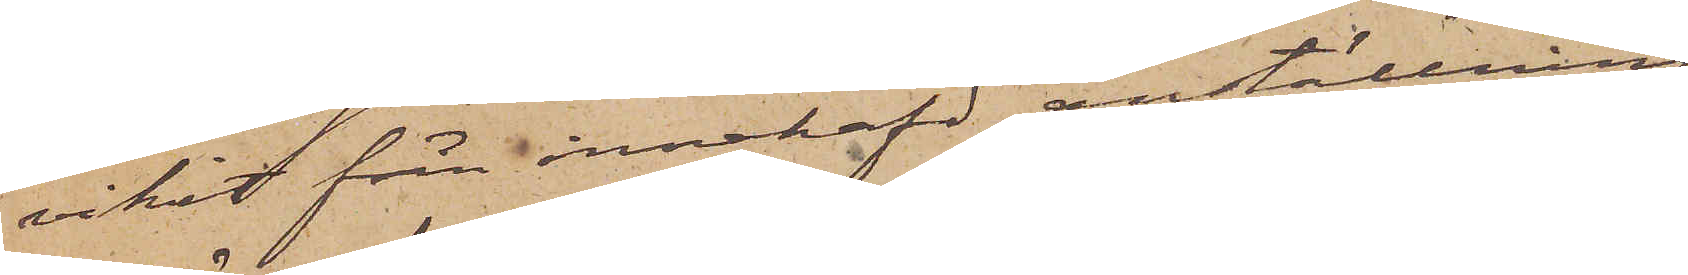vikit från innehafd anställning
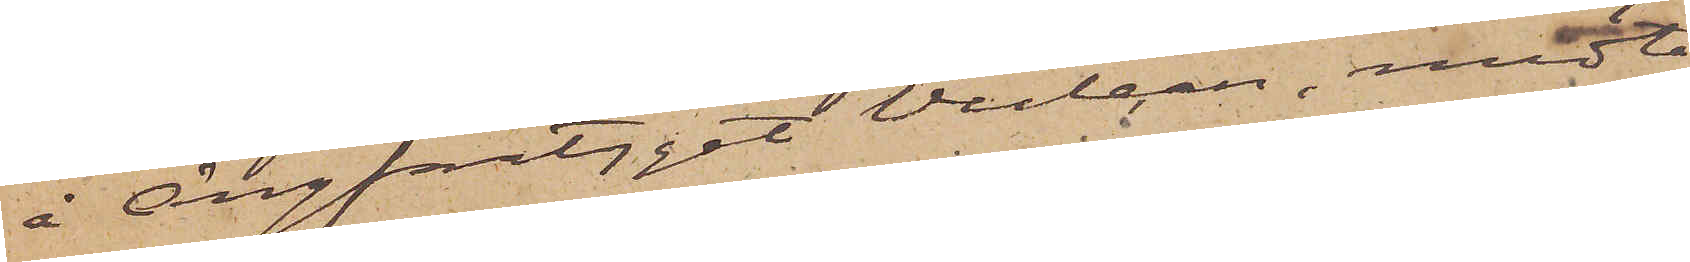å Ångfartyget Vulcan, medta¬
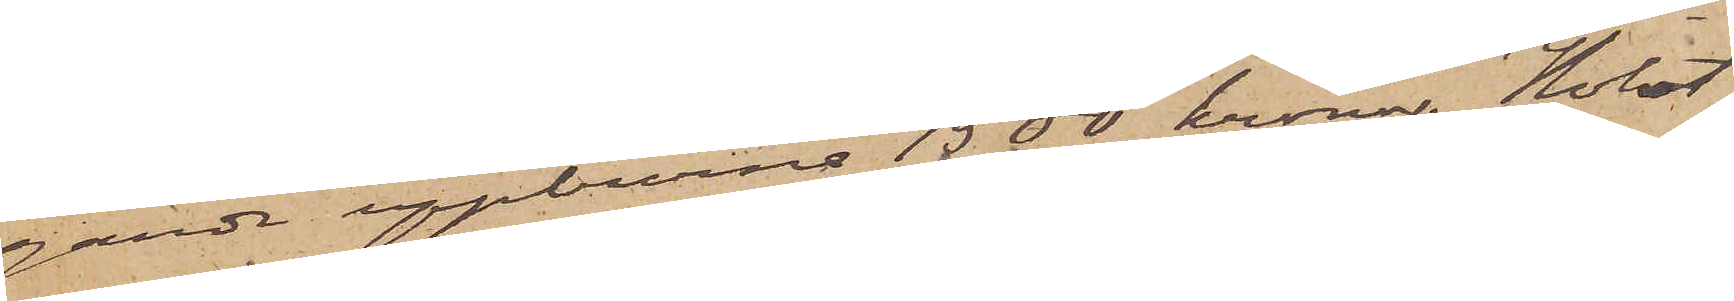gande uppburne 1500 kronor. Holst,
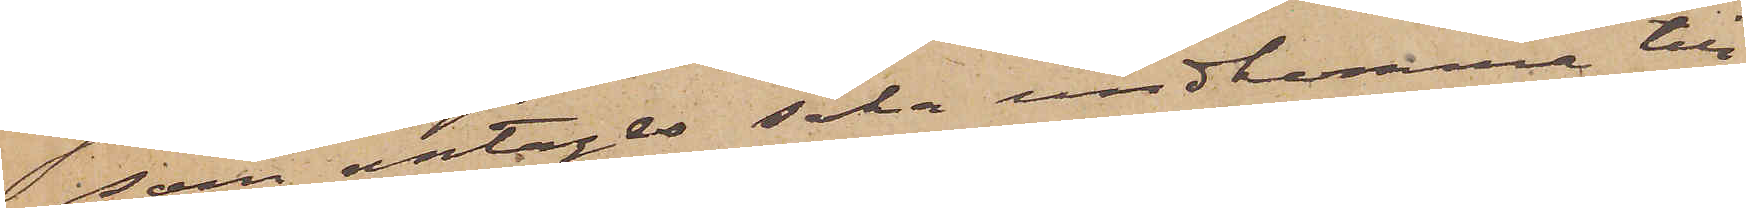som antagas söka undkomma till
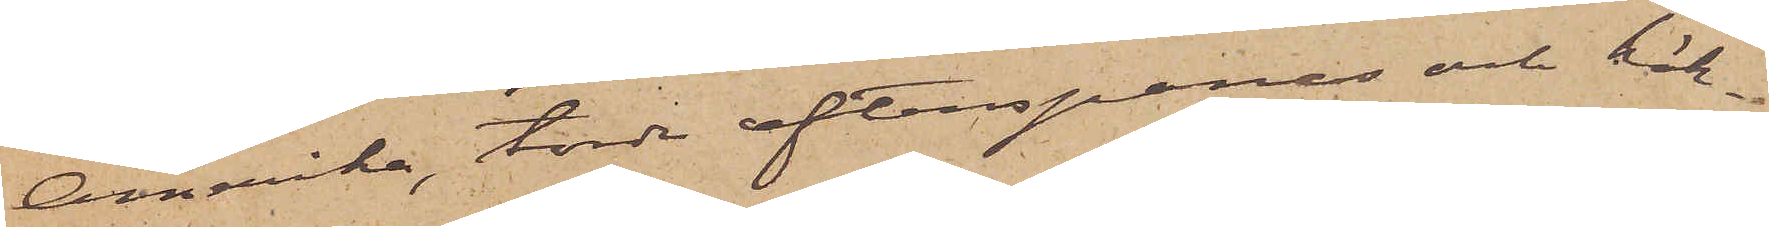Amerika, torde efterspanas och häk¬
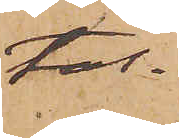tas.
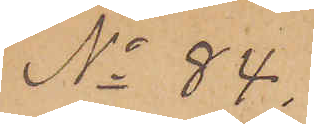No 84.
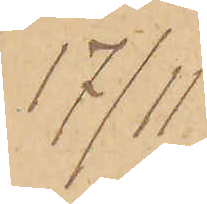17/11
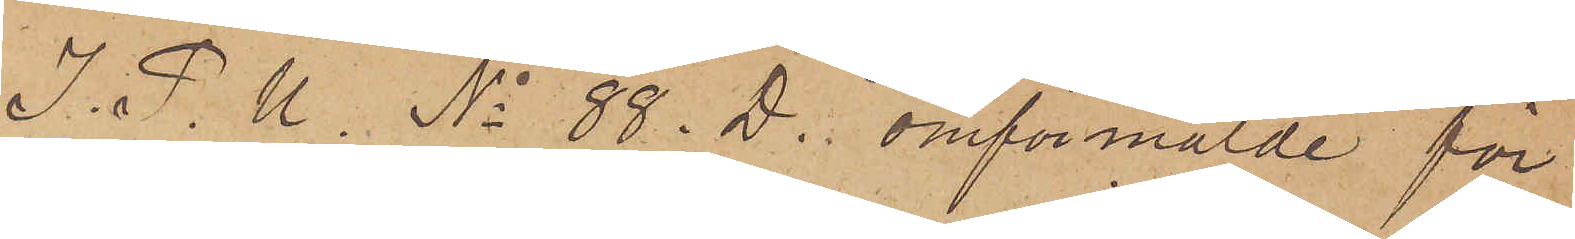I. P. U. No 88. D. omförmälde för
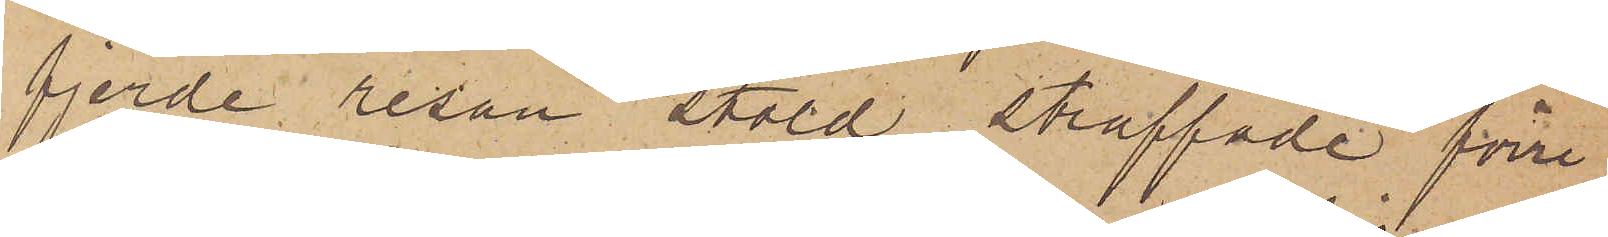fjerde resan stöld straffade förre
